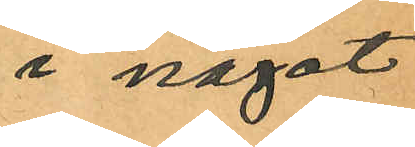i något
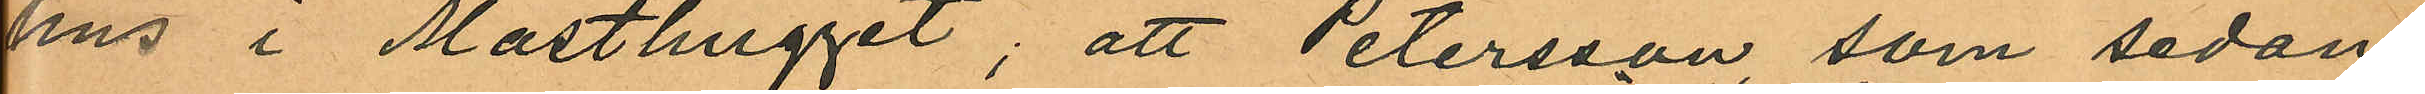hus i Masthugget; att Petersson som sedan
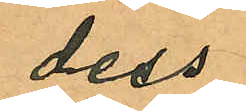dess
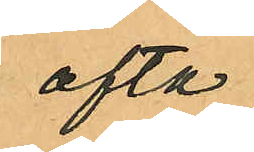ofta
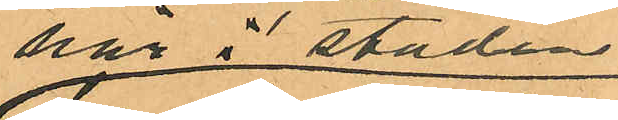här i staden
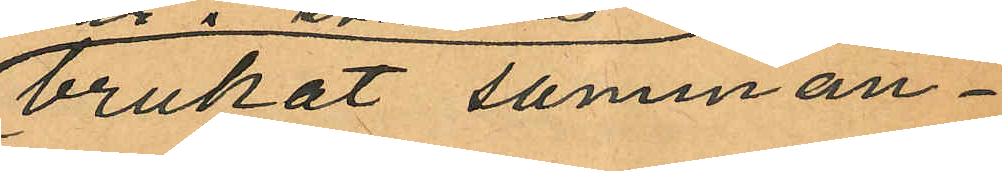brukat samman¬
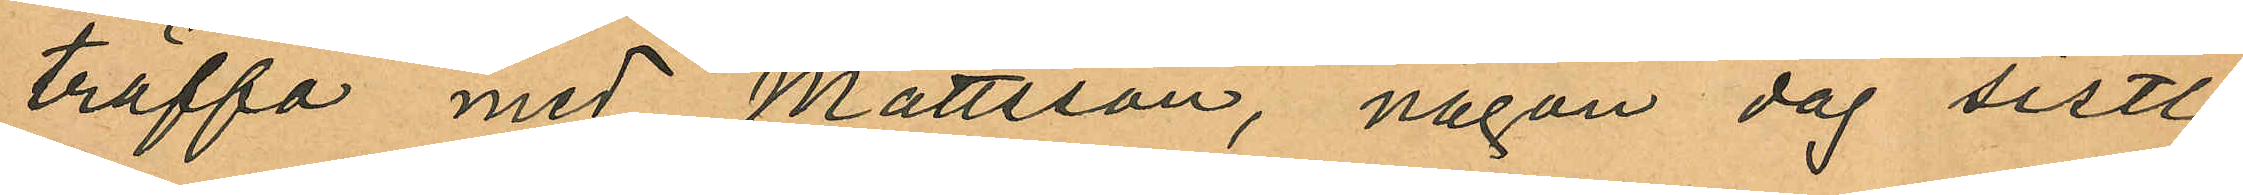träffa med Mattsson, någon dag sistl.
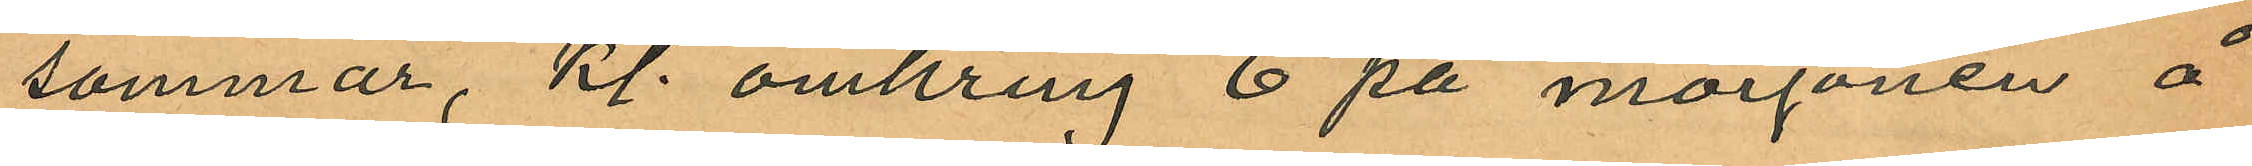sommar, kl. omkring 6 på morgonen å
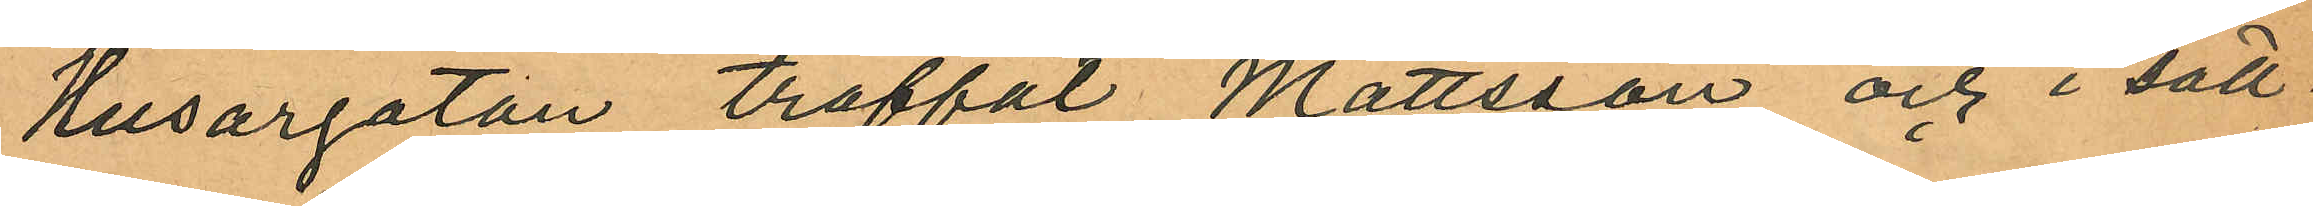Husargatan träffat Mattsson och i säll¬
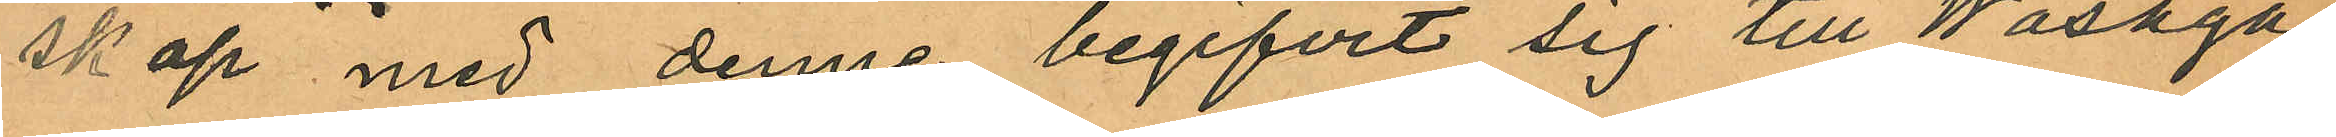skap med denne begifvit sig till Wasaga¬
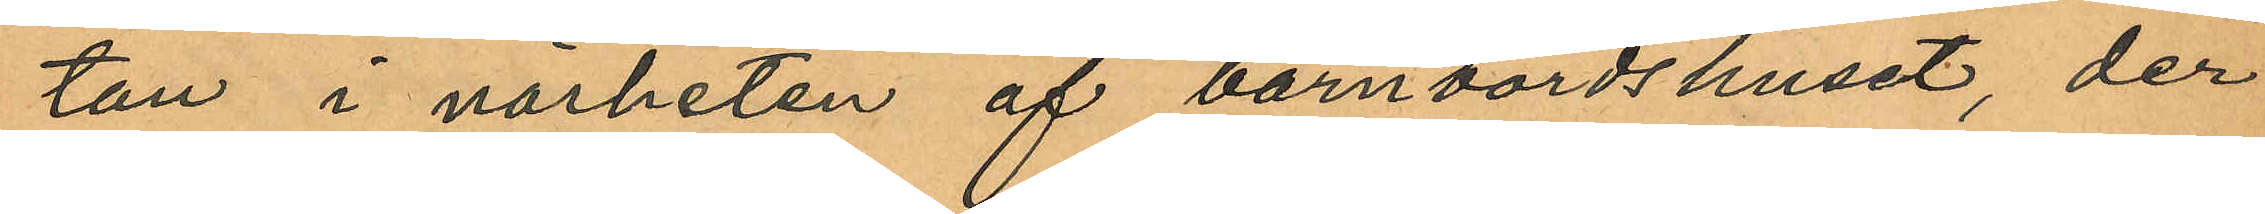tan i närheten af barnbördshuset, der
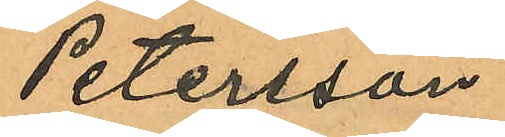Petersson
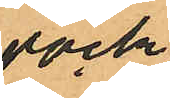dock
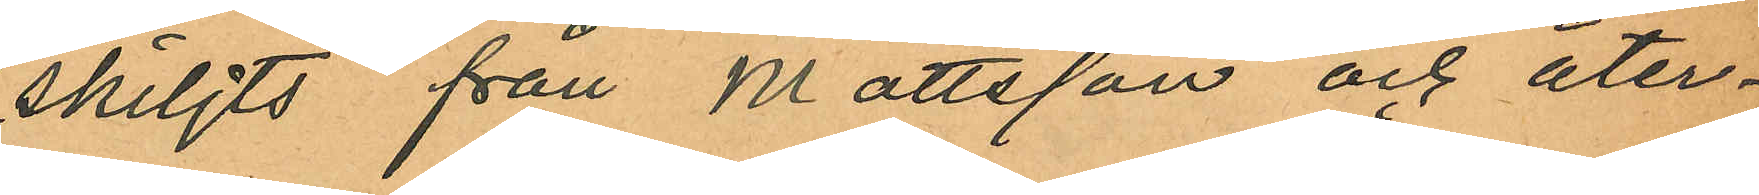skiljts från Mattsson och åter¬
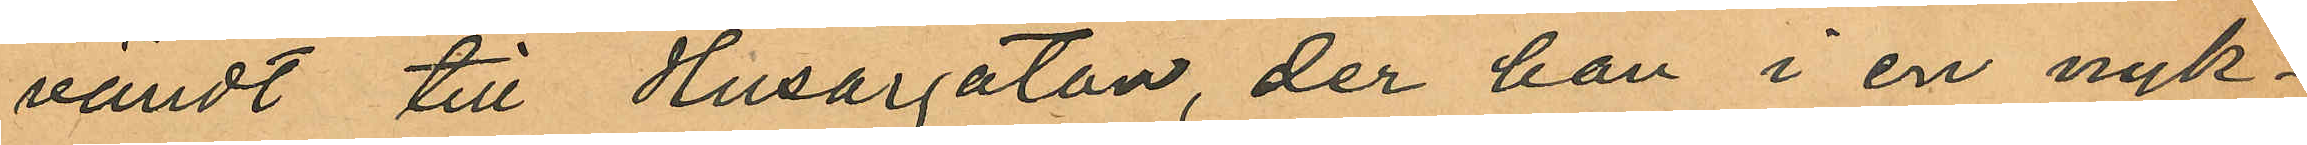vändt till Husargatan, der han i en nyk¬
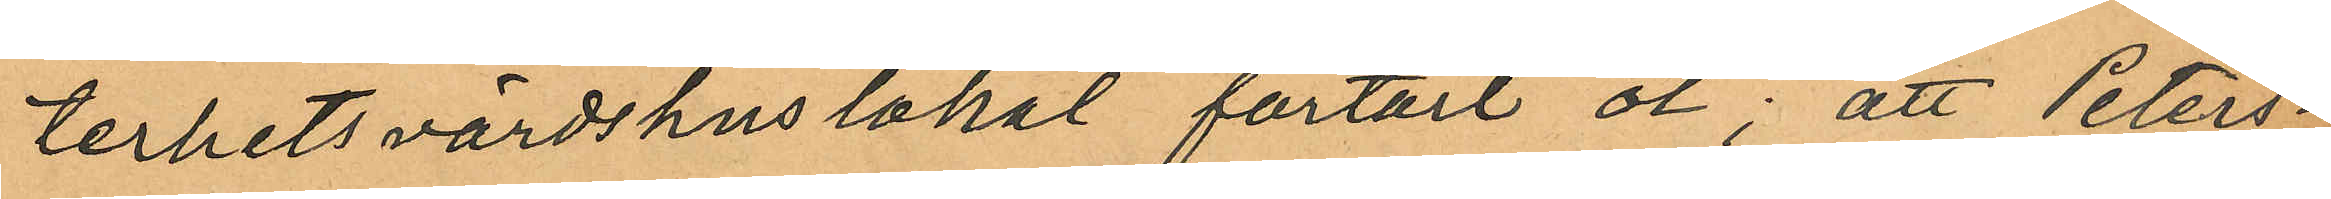terhetsvärdshuslokal förtärt öl; att Peters¬
